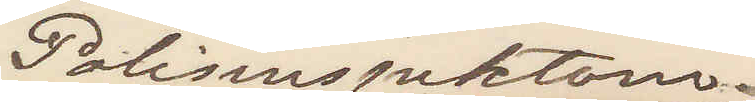Polisinspektorn
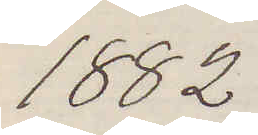1882
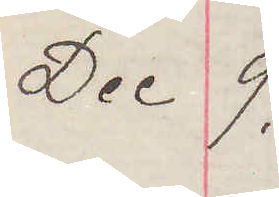Dec 9.
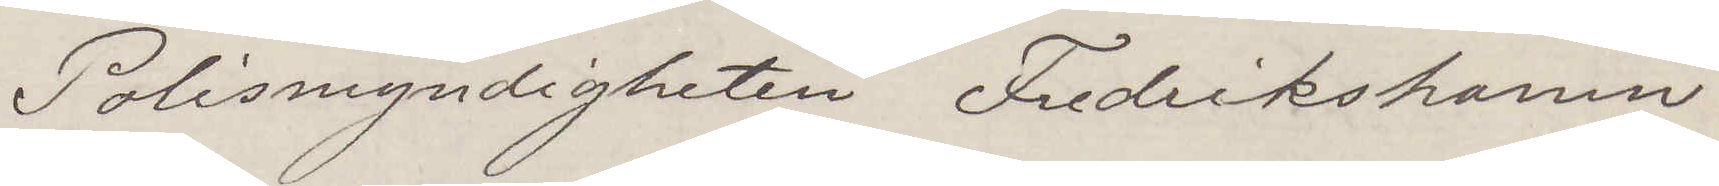Polismyndigheten Fredrikshamn
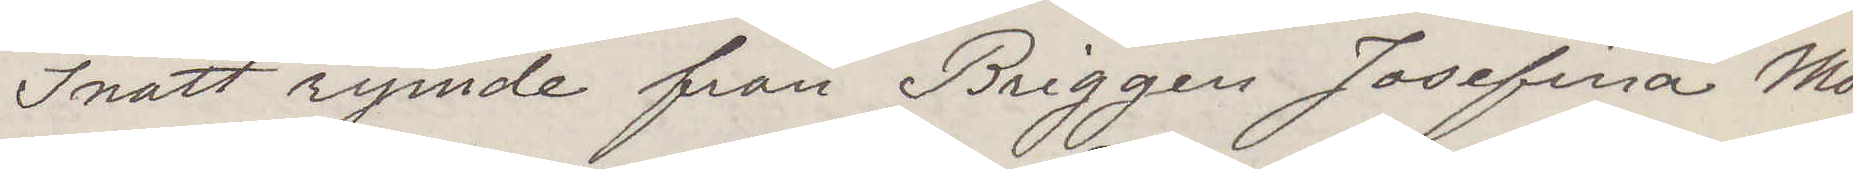Inatt rymde från Briggen Josefina Mön¬
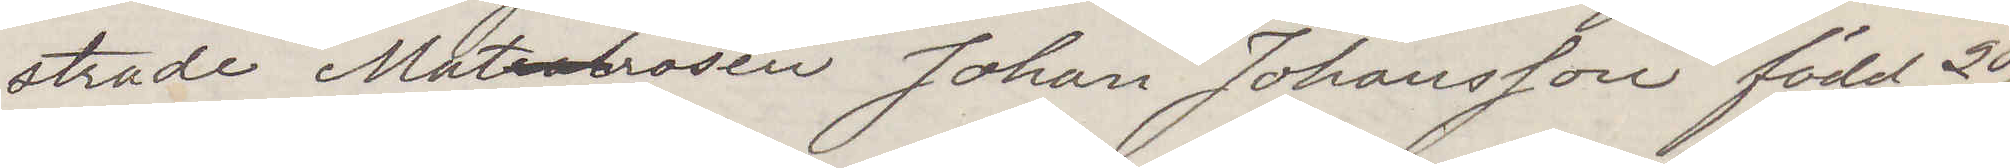strade Materhrosen Johan Johansson född 20/2
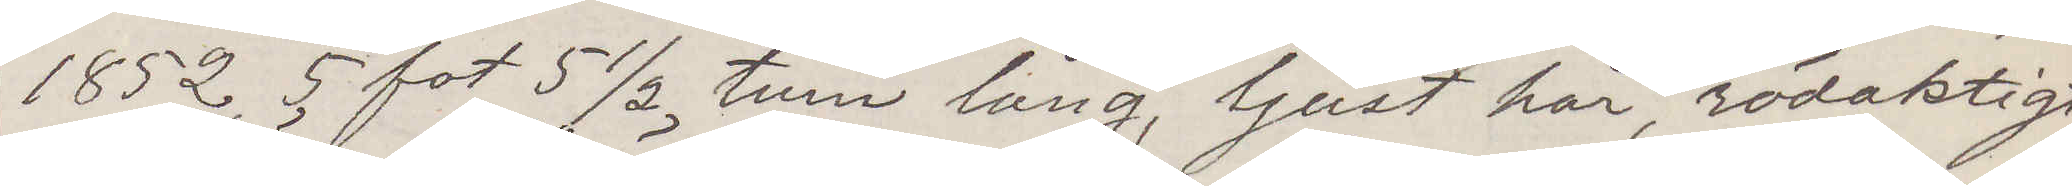1852 5 fot 5 ½ tum lång, ljust hår, rödaktigt
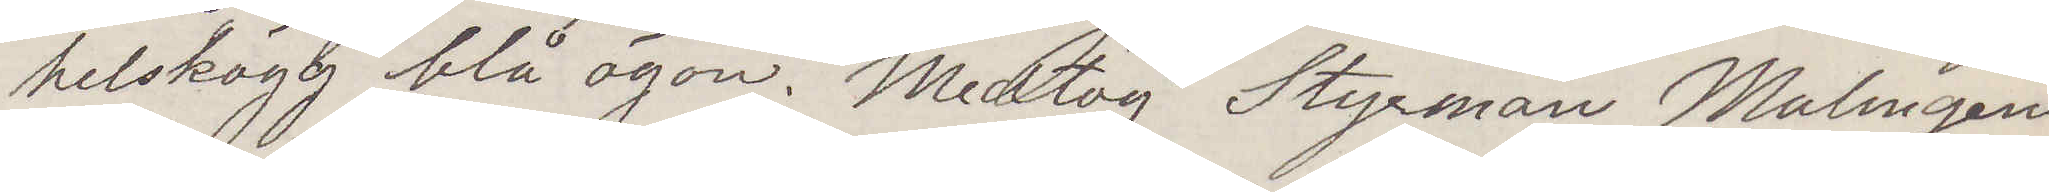helskägg blå ögon. Medtog Styrman Malmgrens
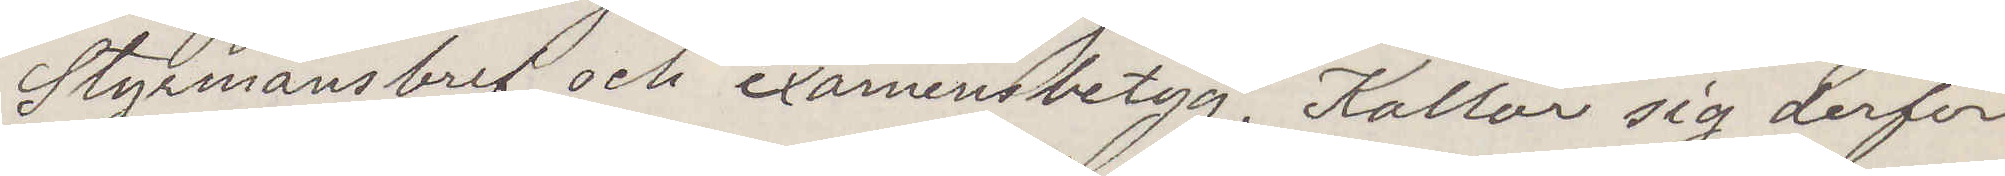Styrmansbref och examensbetyg. Kallar sig derför
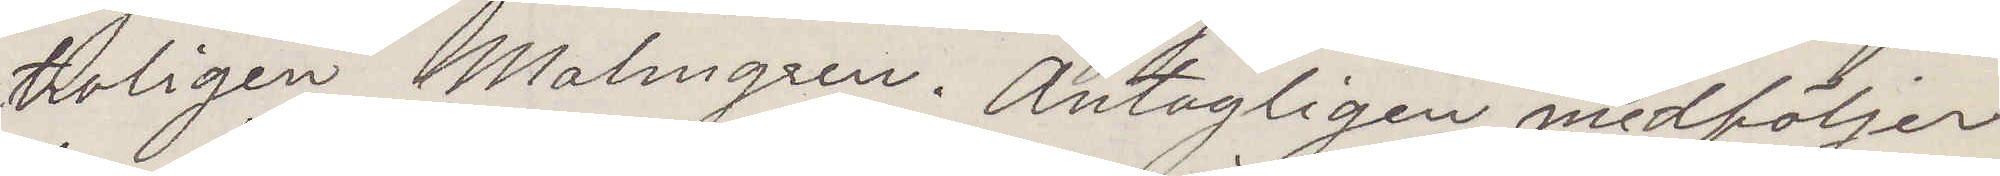troligen Malmgren. Antagligen medföljer
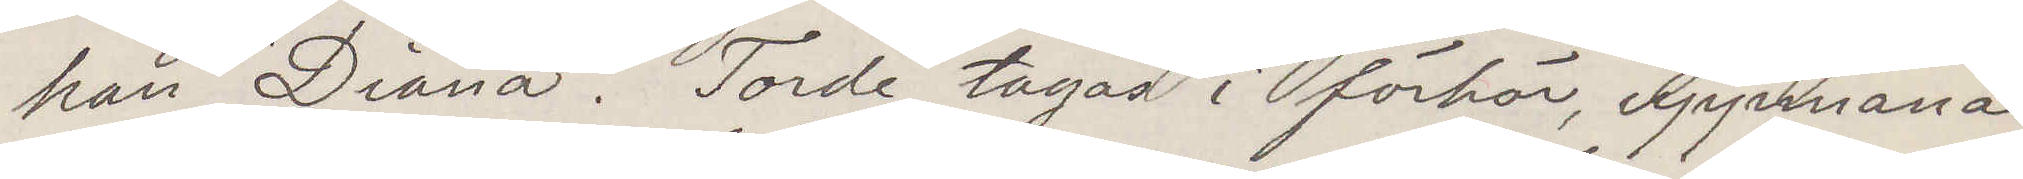han "Diana". Torde tagas i förhör, uppmanas
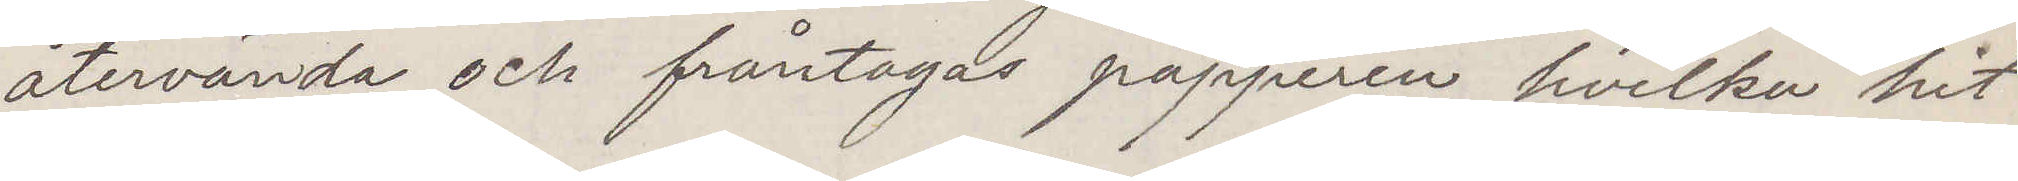återvända och fråntagas papperen hvilka hit¬
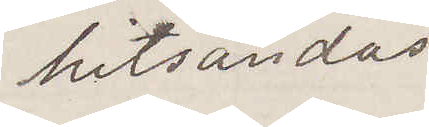hitsändas
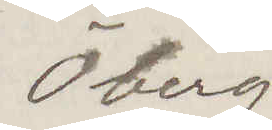Öberg
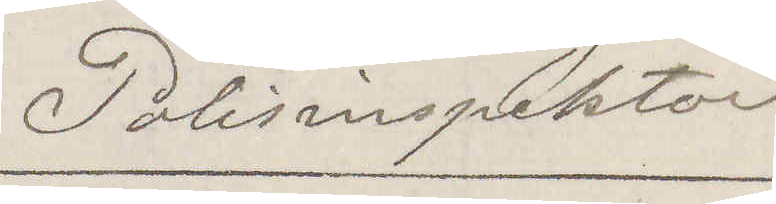Polisinspektor
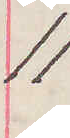11
